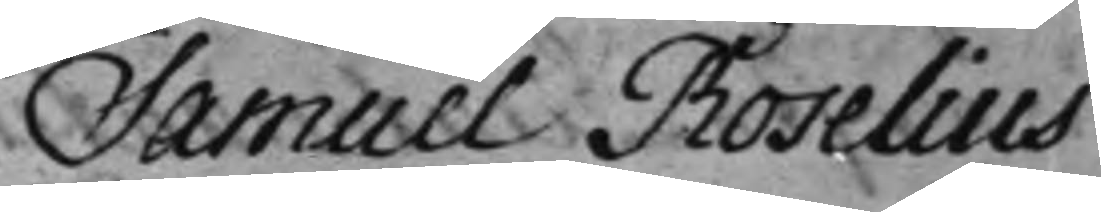Samuel Roselius
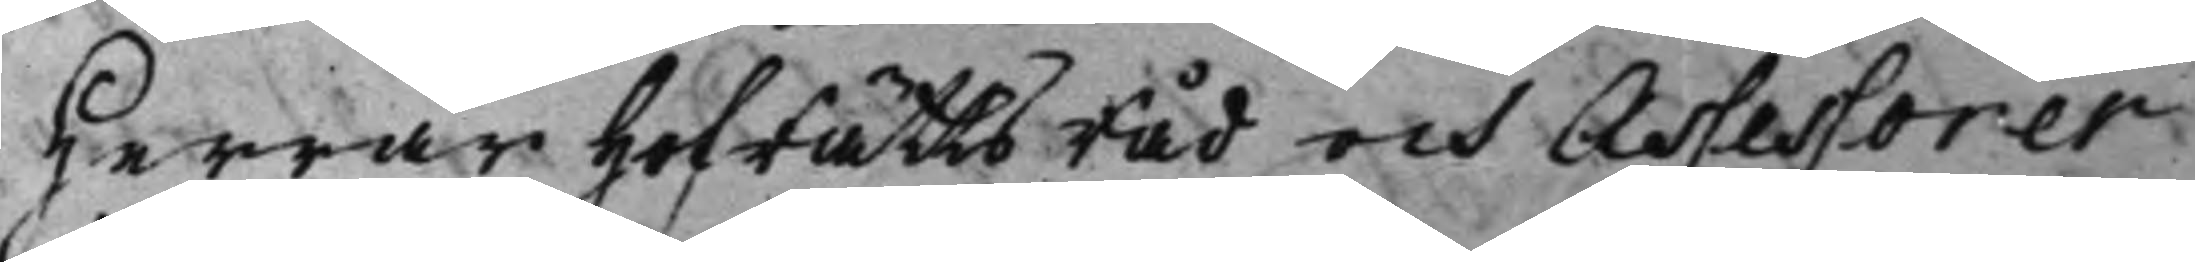Herrar HofRättsRåd och Assessorer
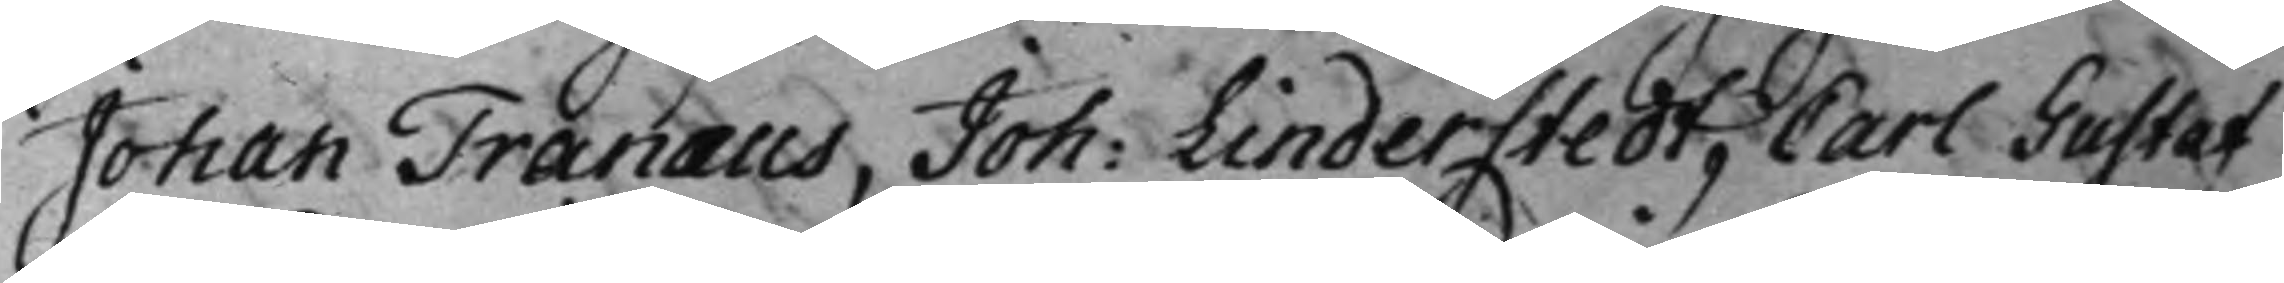Johan Tranæus, Joh: Linderstedt, Carl Gustaf 
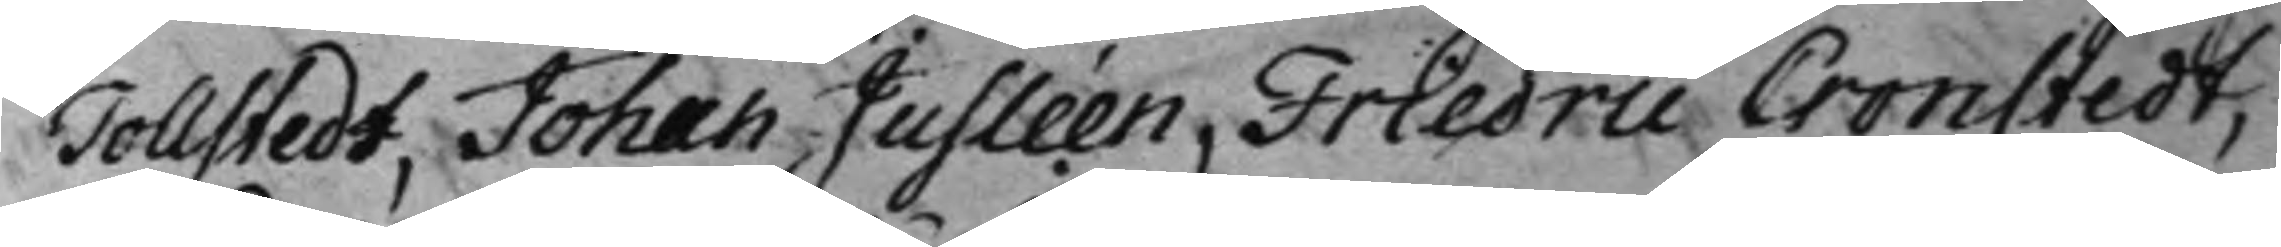Tollstedt, Johan Jusléen, Friedric Cronstedt,
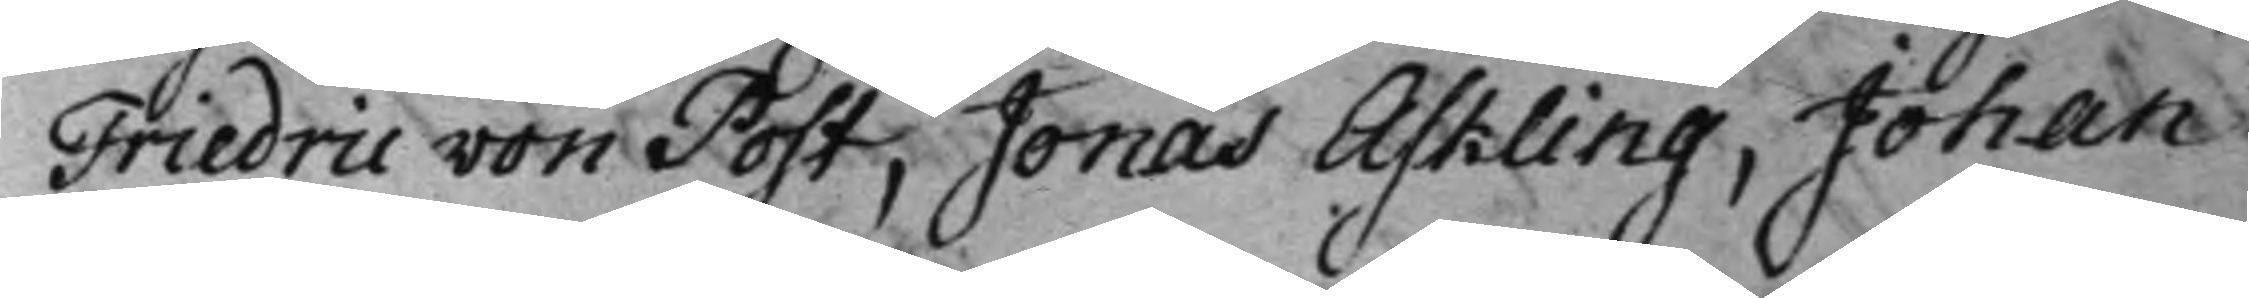Friedric von Post, Jonas Askling, Johan
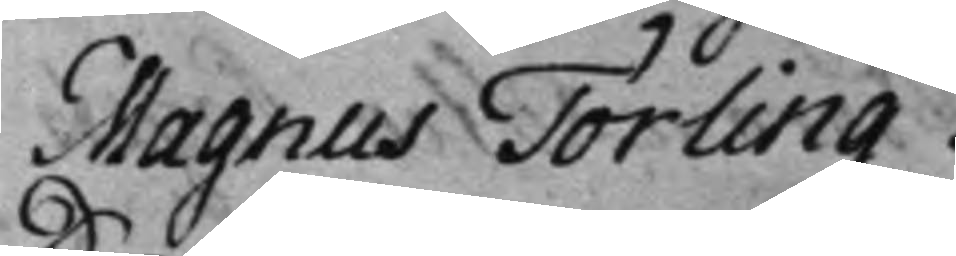Magnus Törling.
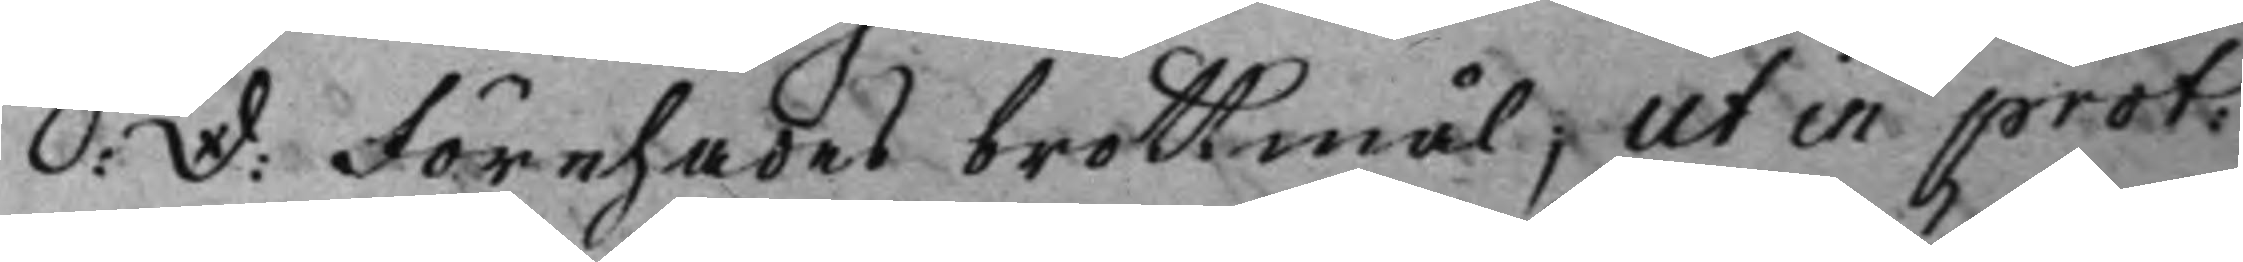S: D: Förehades brottmål; ut in prot:
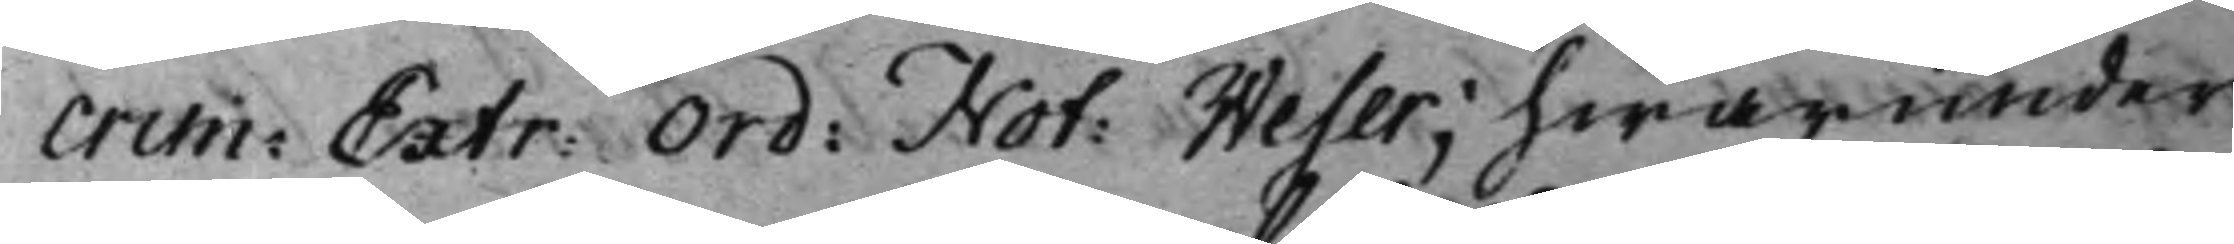Crim: Extr: Ord: Not: Weser; hwarunder 
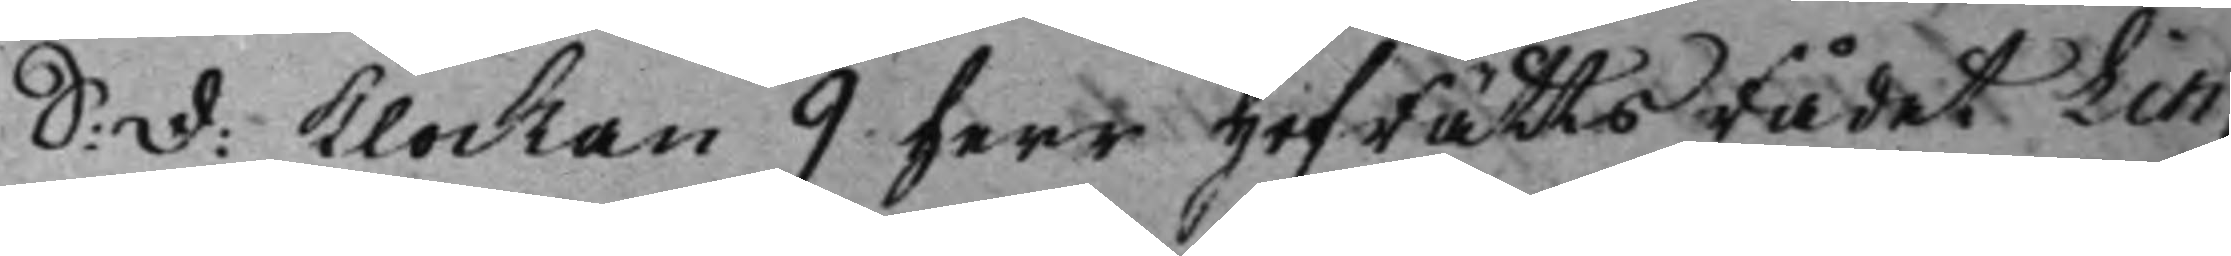S: D: Klockan 9 herr HofRättsRådet Lin¬ 
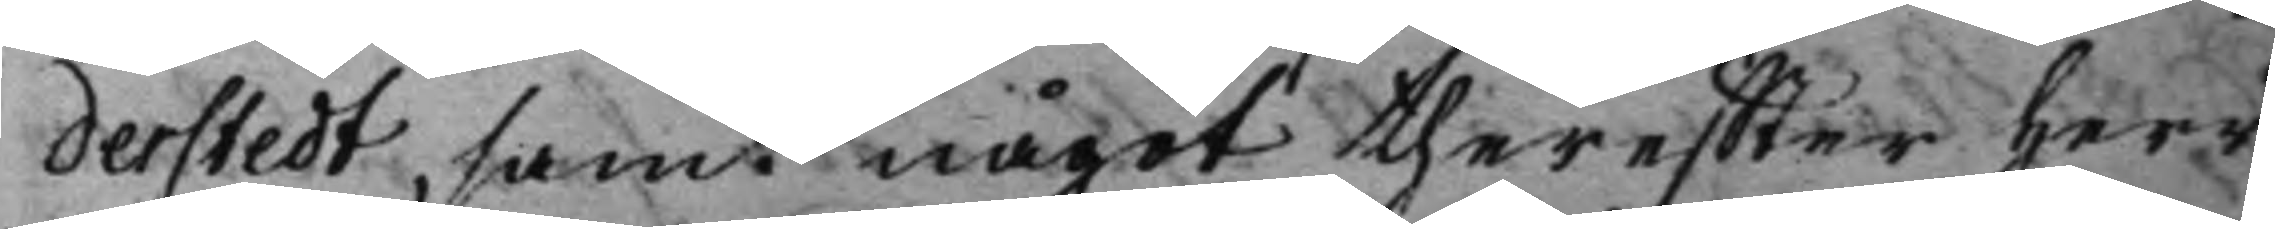derstedt, samt något thereffter Herr
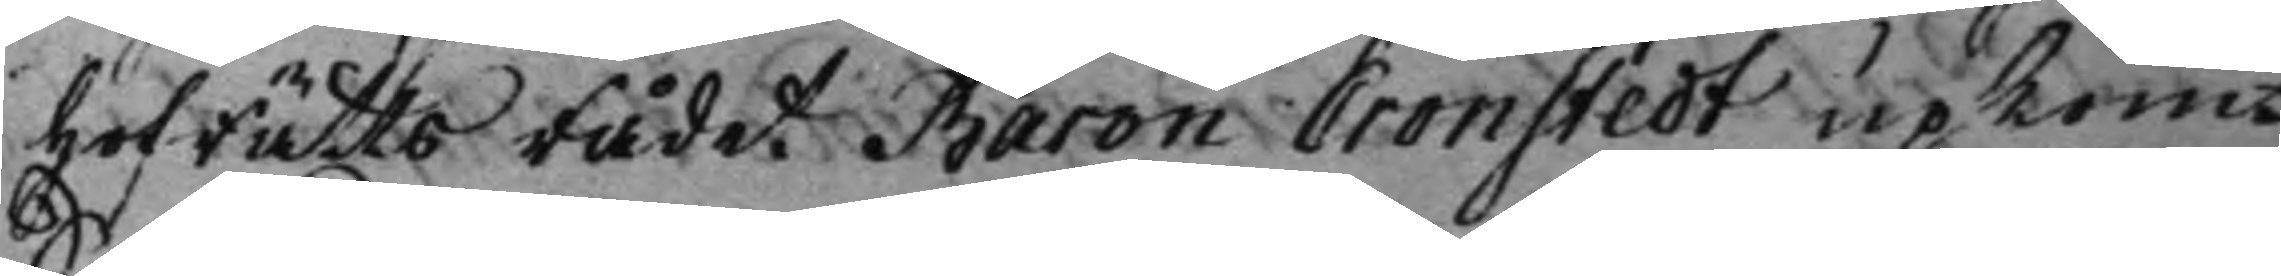HofRättsRådet Baron Cronstedt upkom.
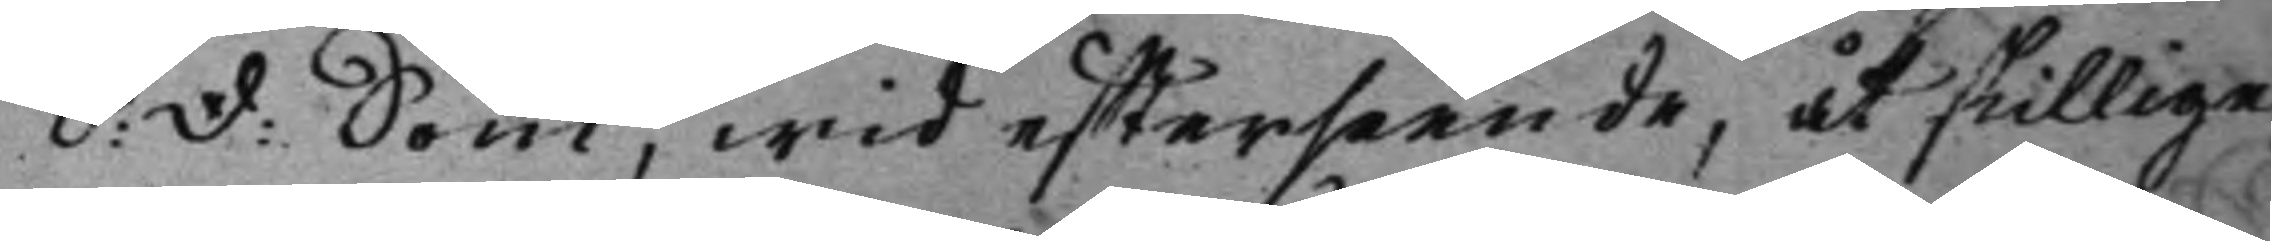S: D: Som, wid efterseende, åtskillige 
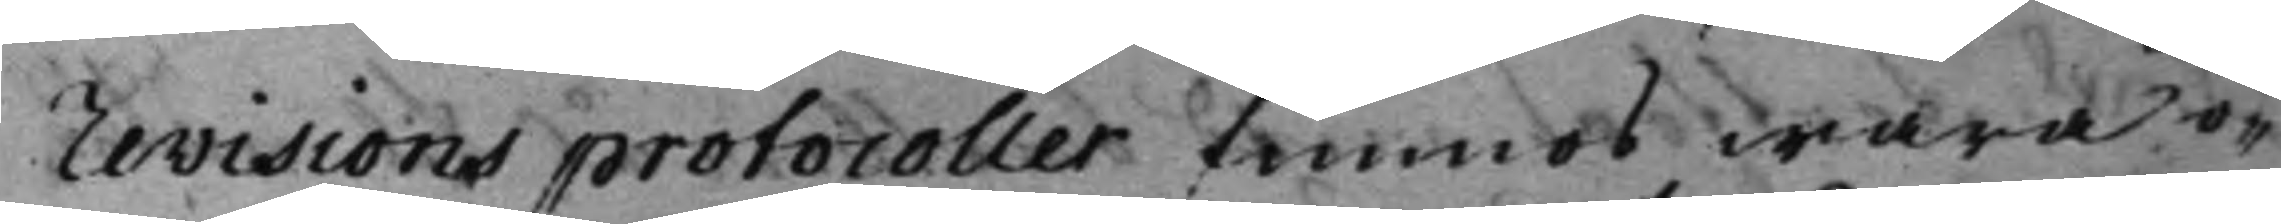revisions protocoller funnos wara o¬
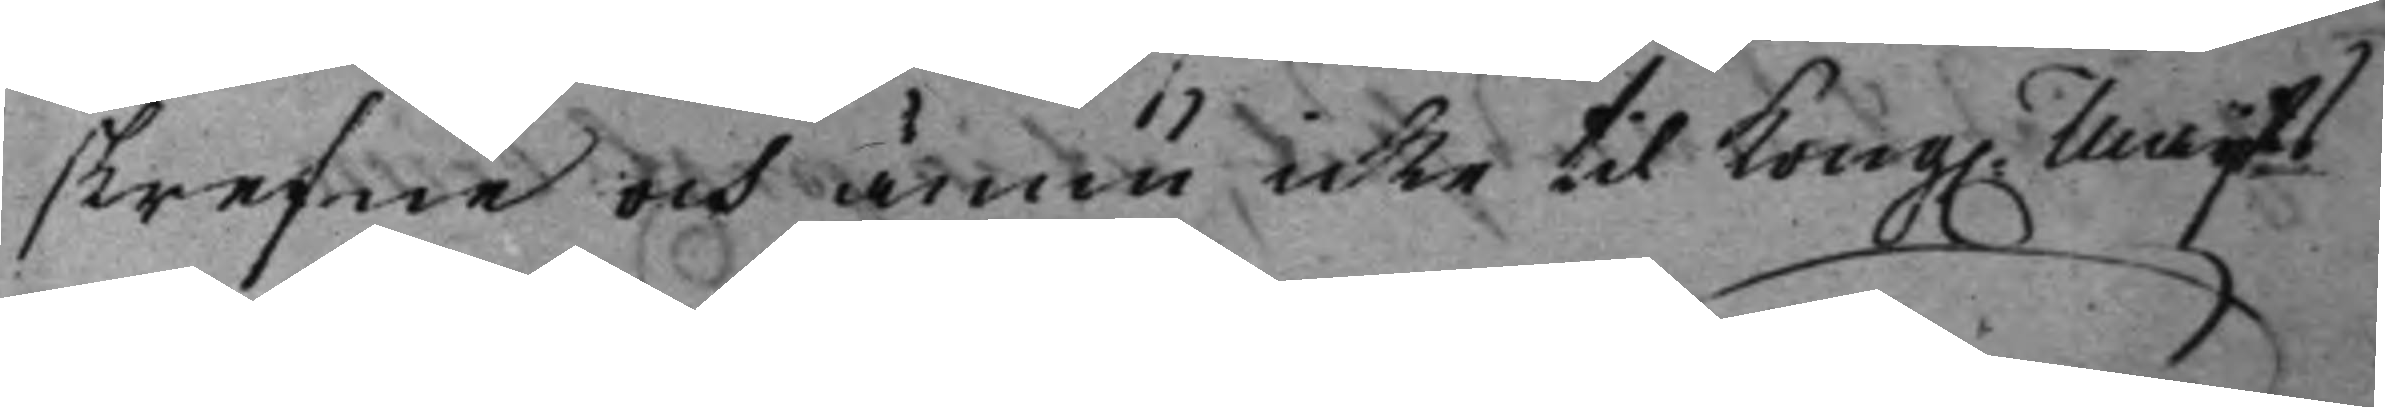skrefne och ännu icke til Kong. Maijts 
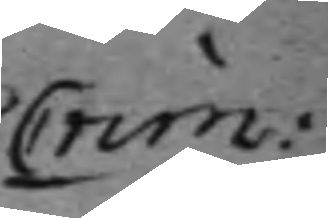Crim: 
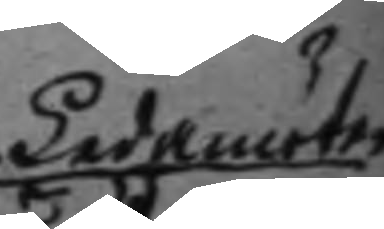Ledamöter 
